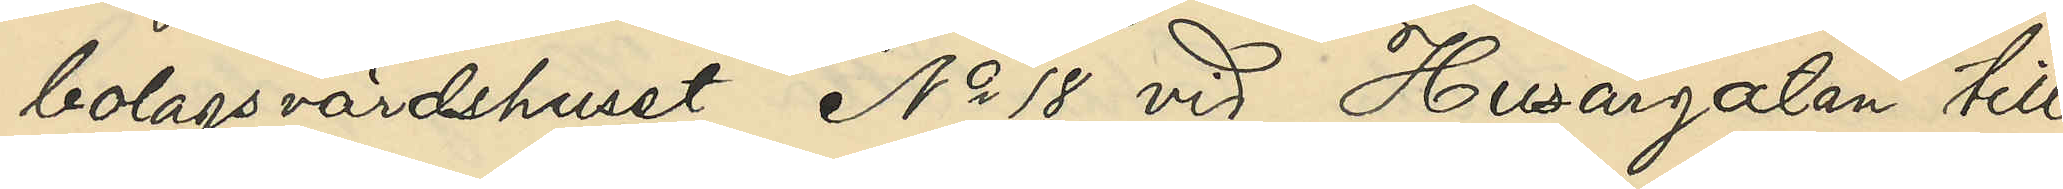bolagsvärdshuset No 18 vid Husargatan till
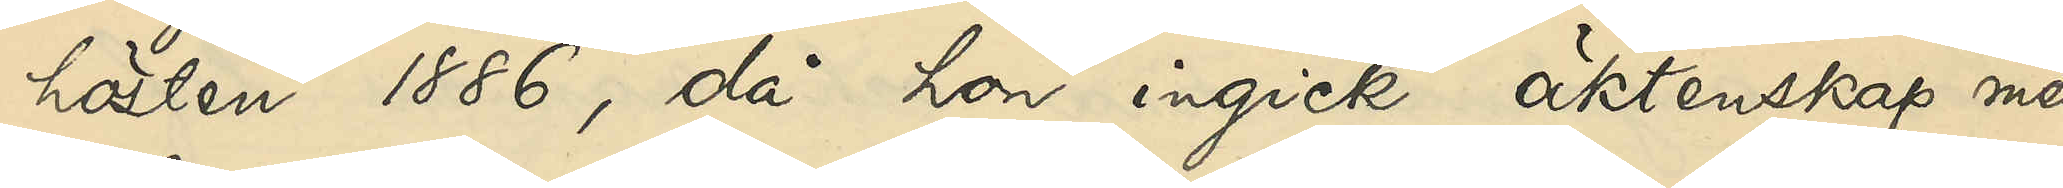hösten 1886, då hon ingick äktenskap med
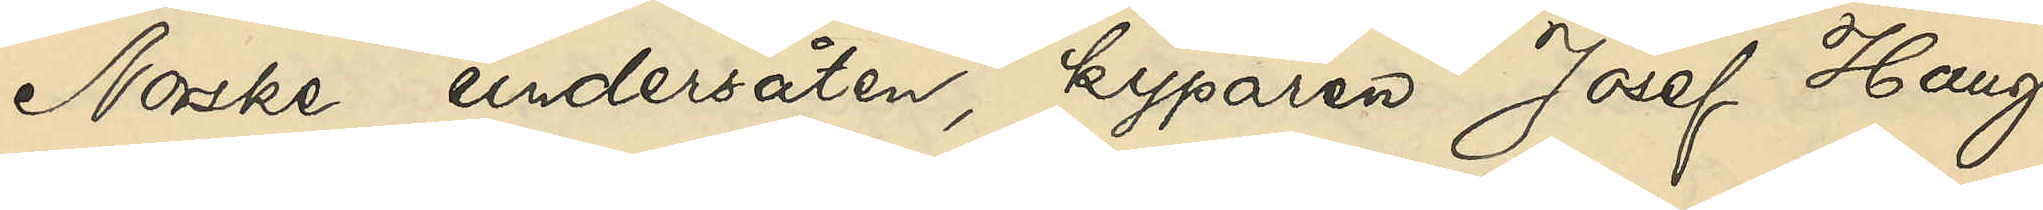Norske undersåten, kyparen Josef Haug,
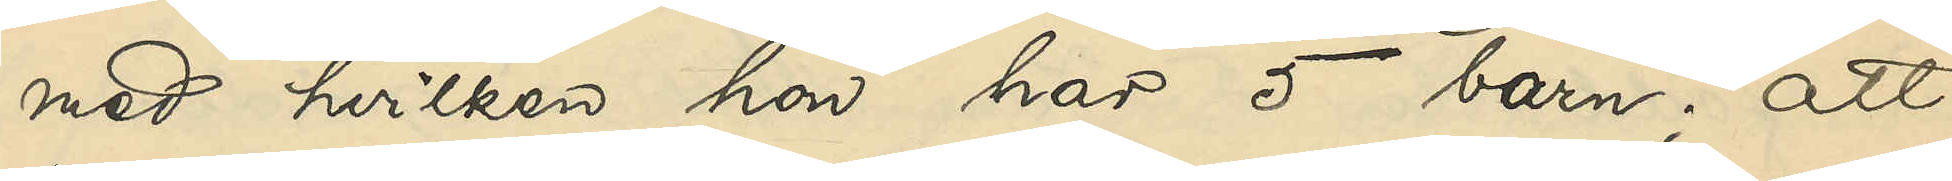med hvilken hon har 5 barn; att
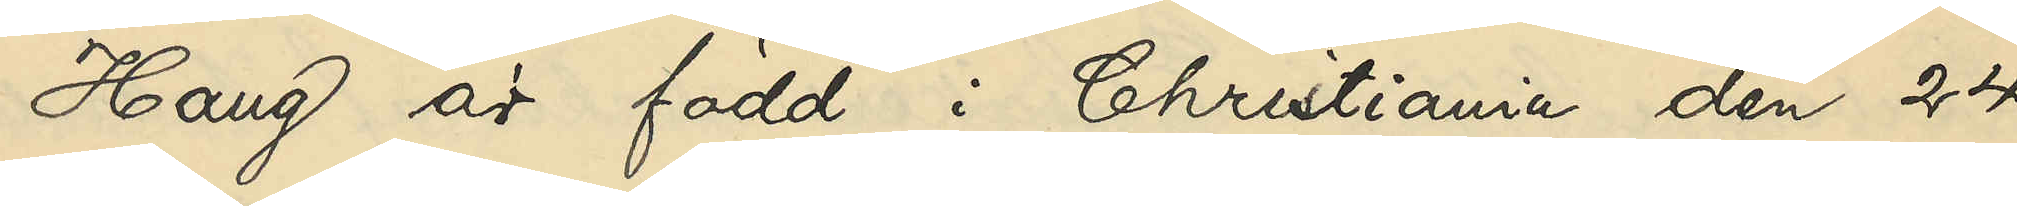Haug är född i Christiania den 24
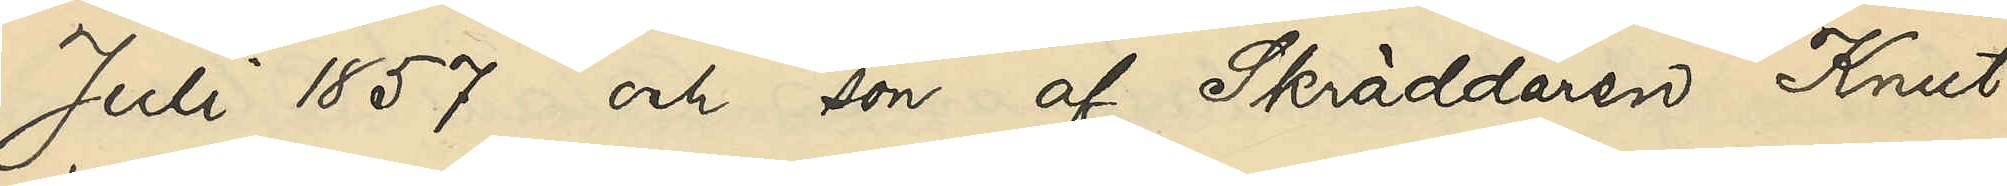Juli 1857 och son af Skräddaren Knut
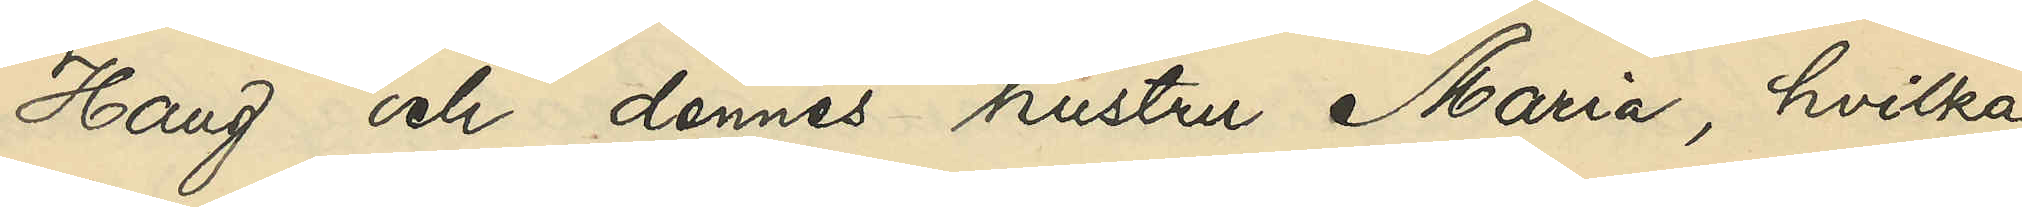Haug och dennes hustru Maria, hvilka
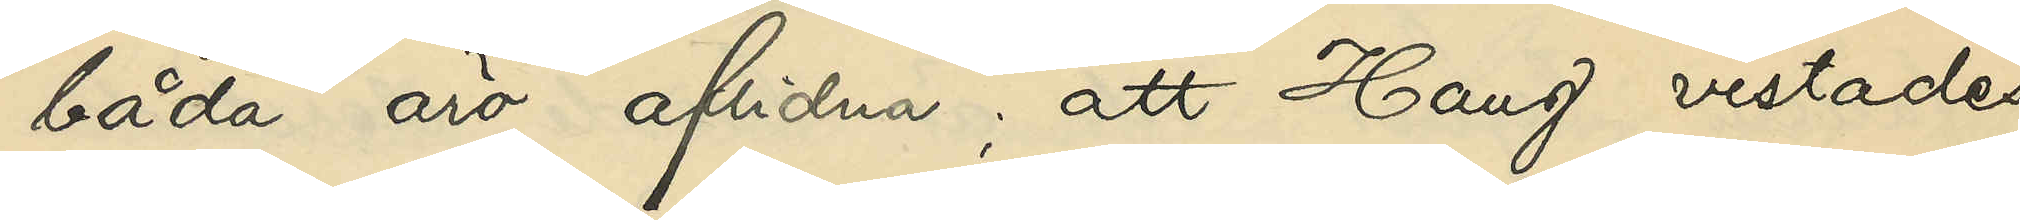båda äro aflidna; att Haug vistades
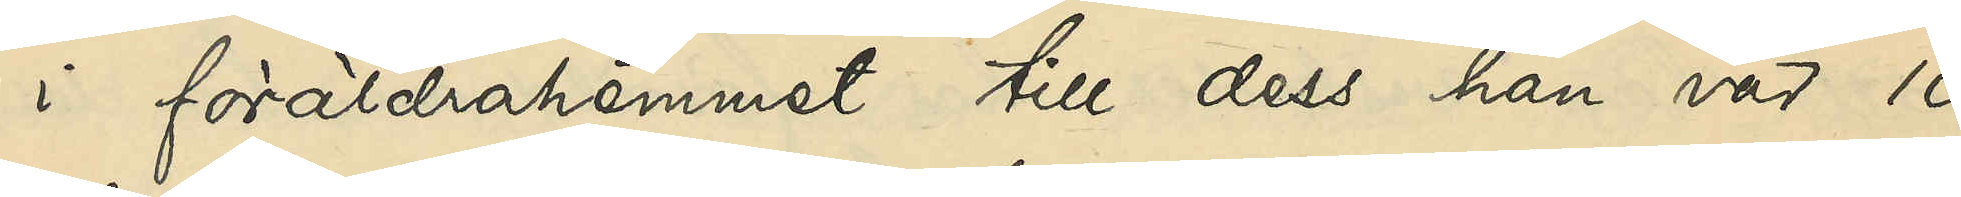i föräldrahemmet till dess han var 10
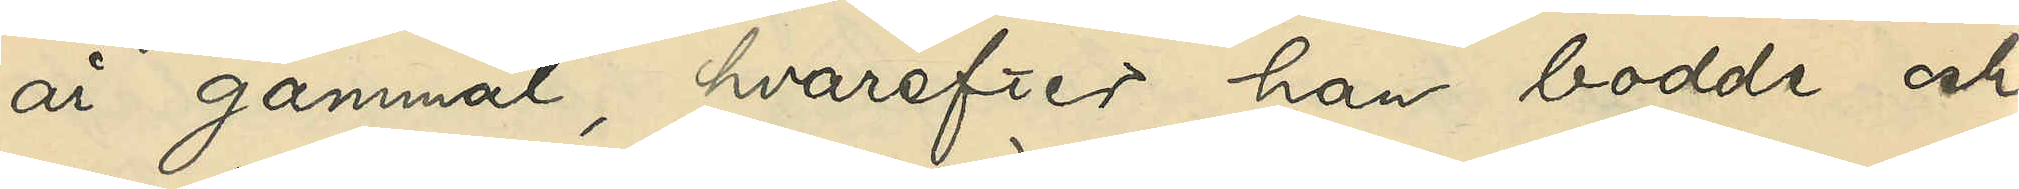år gammal, hvarefter han bodde och
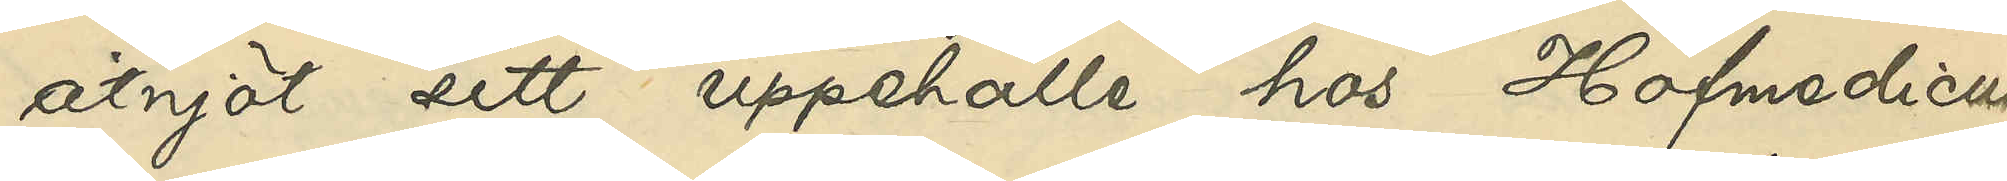åtnjöt sitt uppehälle hos Hofmedicus
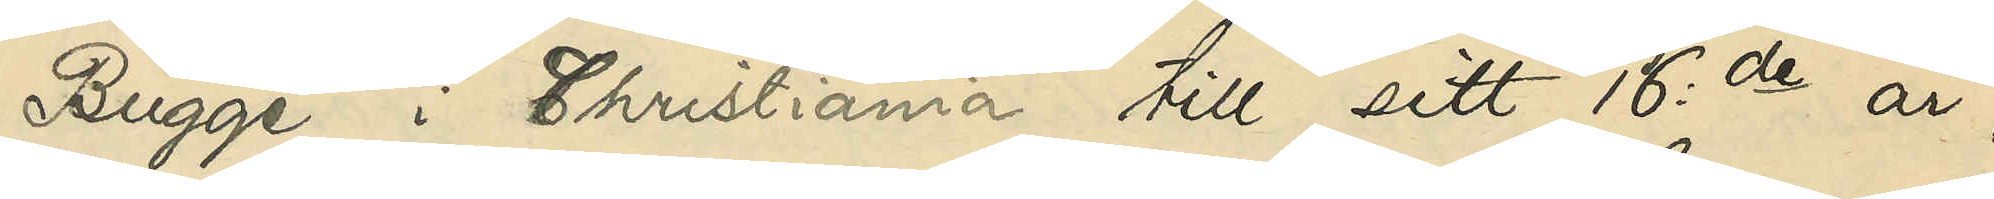Bugge i Christiania till sitt 16de år,
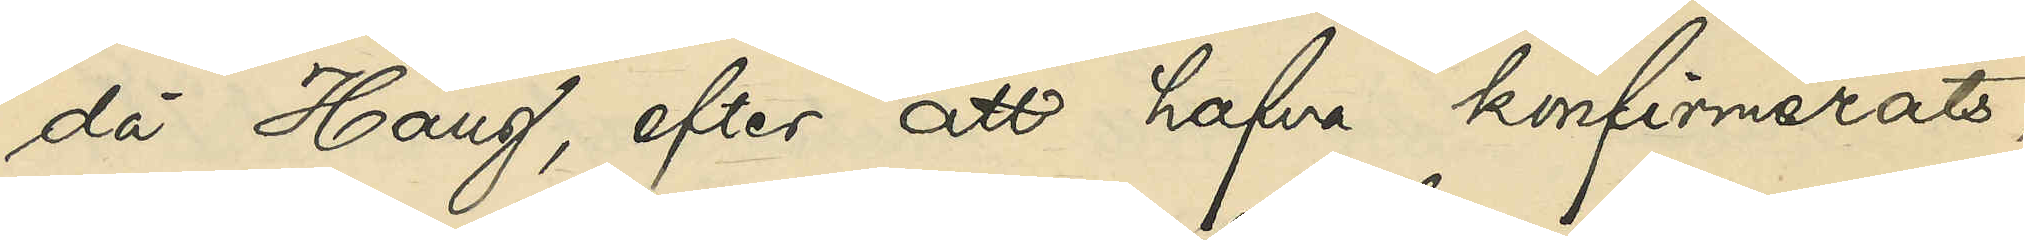då Haug, efter att hafva konfirmerats,
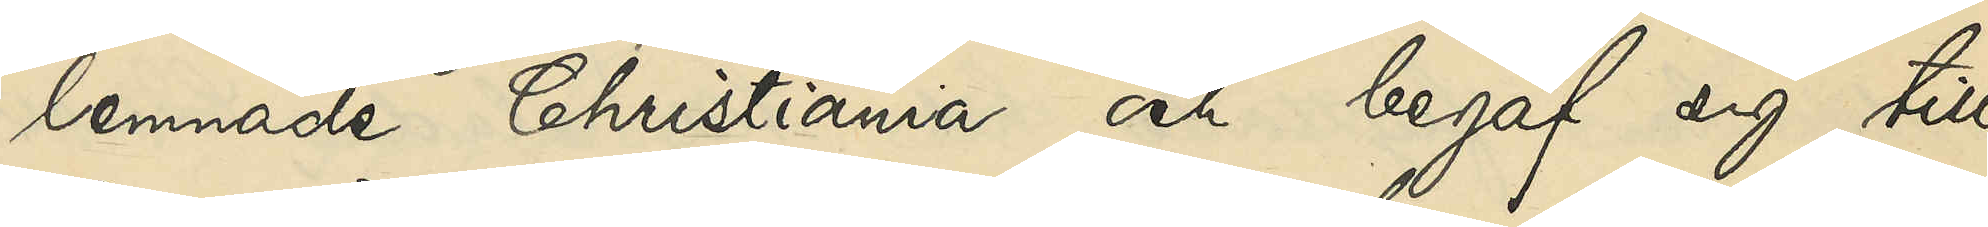lemnade Christiania och begaf sig till
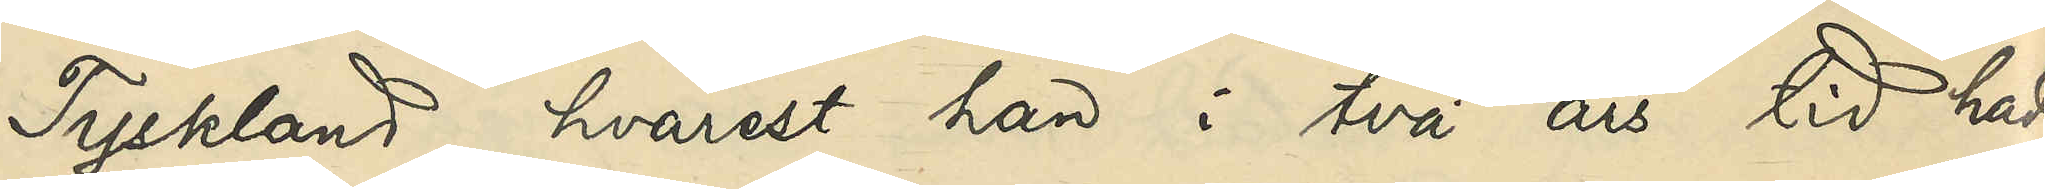Tyskland, hvarest han i två års tid hade
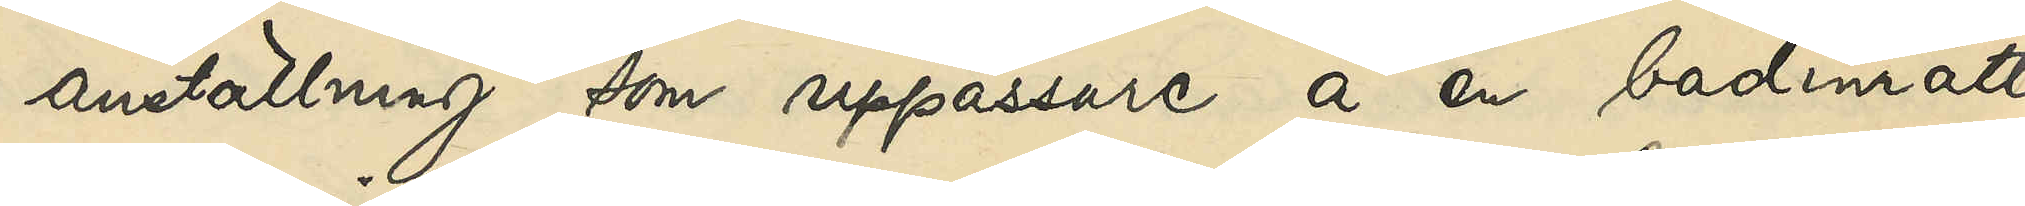anställning som uppassare å en badinrätt¬
